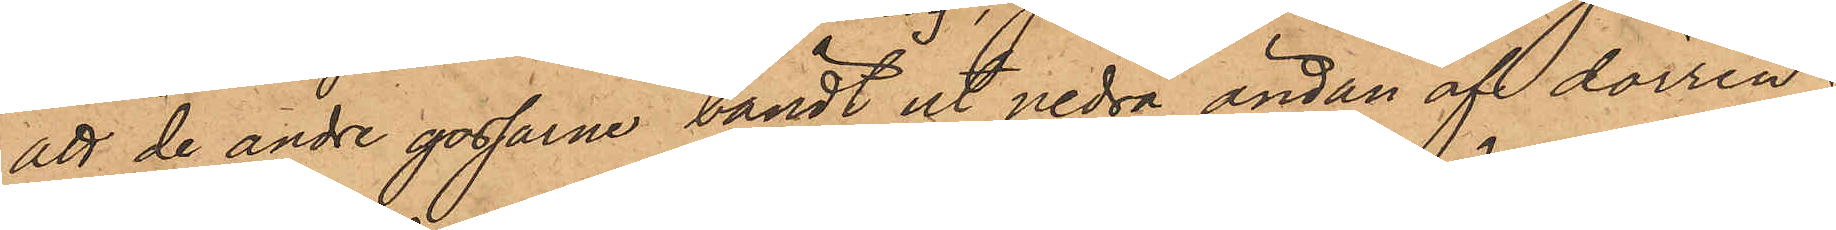att de andre gossarne bändt ut nedra ändan af dörren;
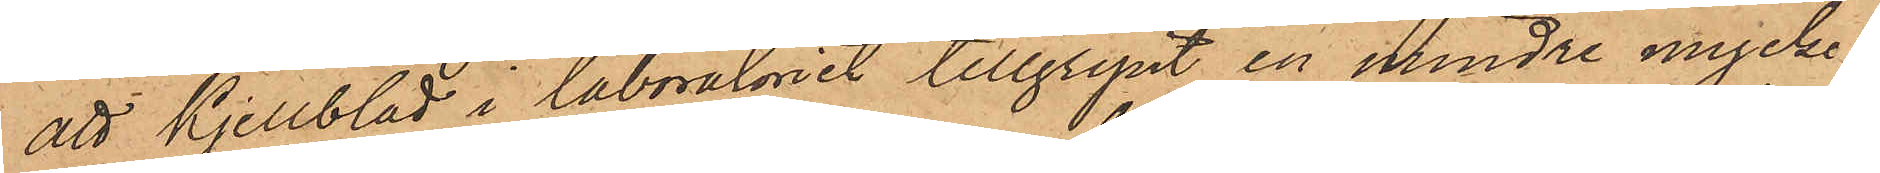att Kjellblad i laboratoriet tillgripit en mindre mycken¬
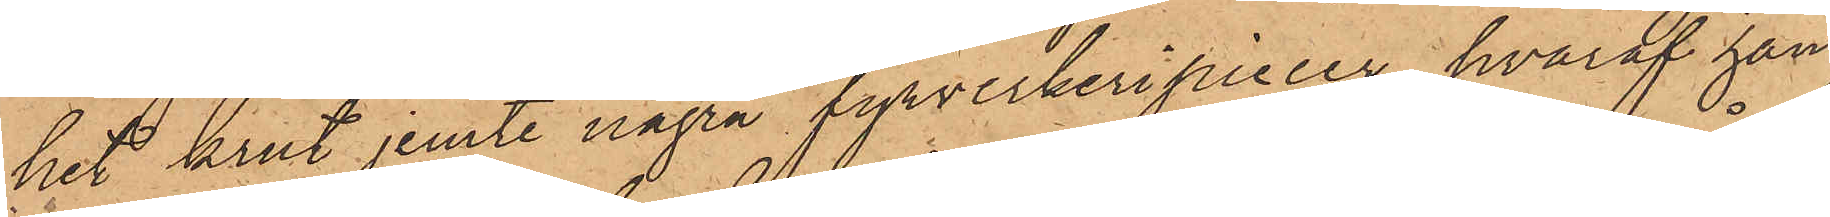het krut jemte några fyrverkeripiecer, hvaraf han
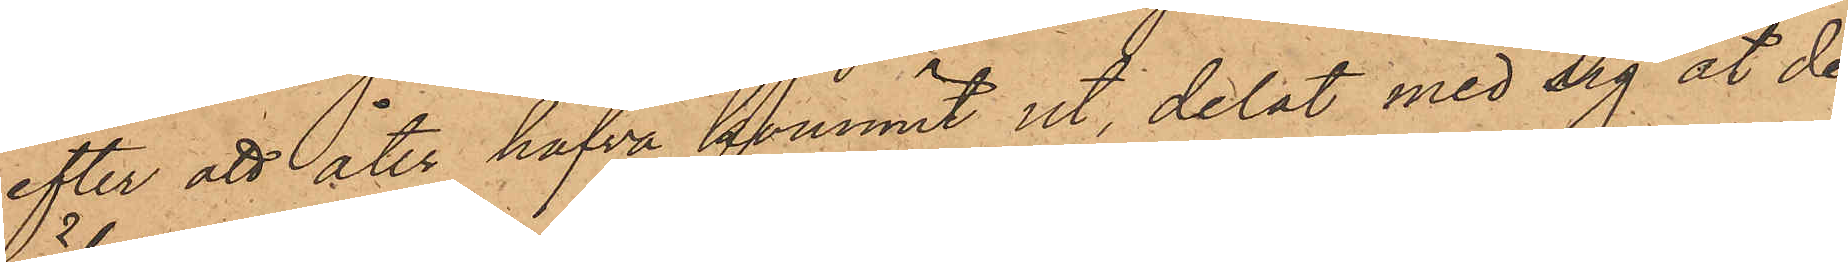efter att åter hafva kommit ut, delat med sig åt de
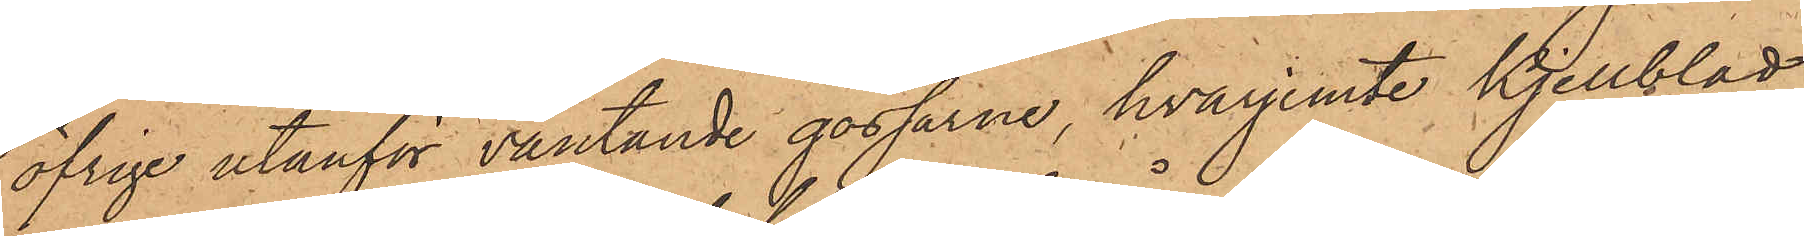öfrige utanför väntande gossarne, hvarjemte Kjellblad
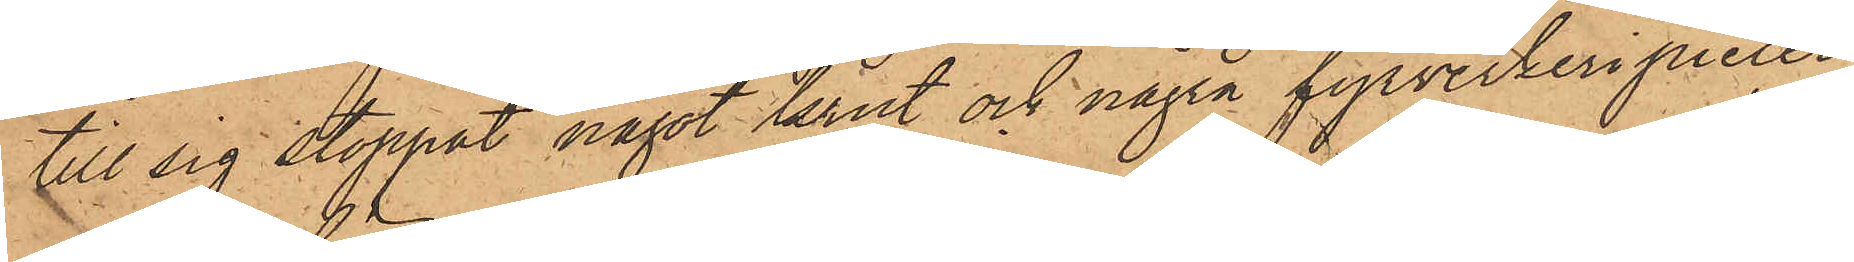till sig stoppat något krut och några fyrverkeripiecer;
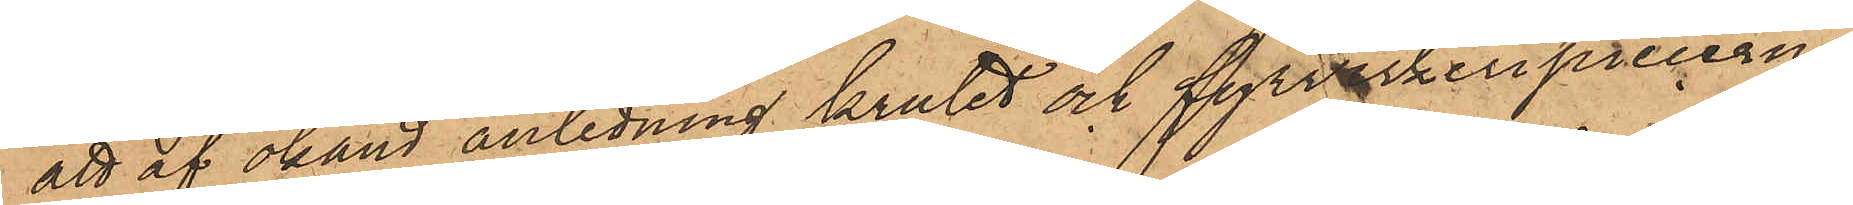att af okänd anledning krutet och fyrverkeripiecerne
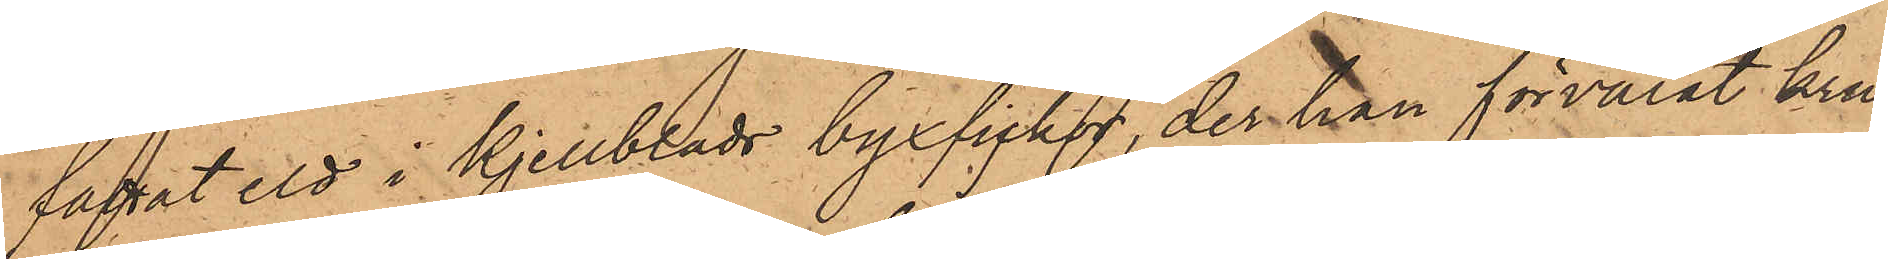fattat eld i Kjellblads byxficka, der han förvarat kru¬
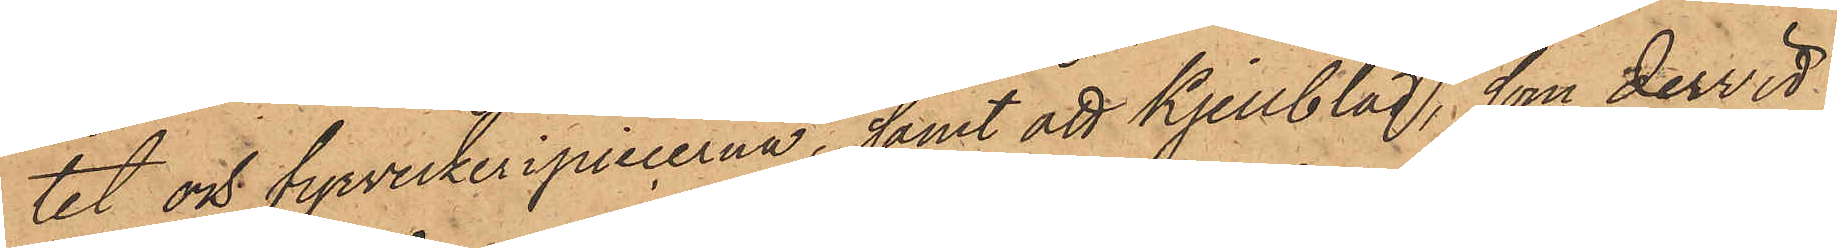tet och fyrverkeripiecerna, samt att Kjellblad, som dervid
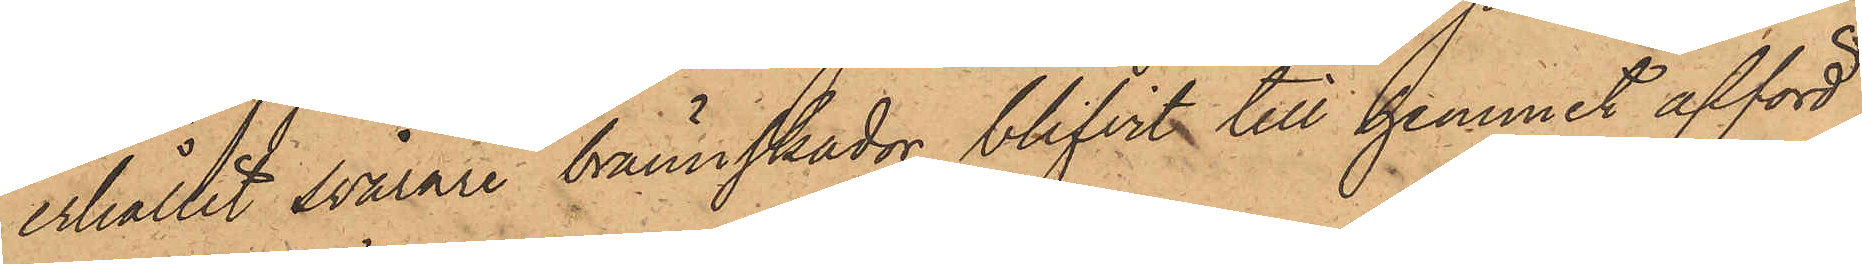erhållit svårare brännskador, blifvit till hemmet afförd
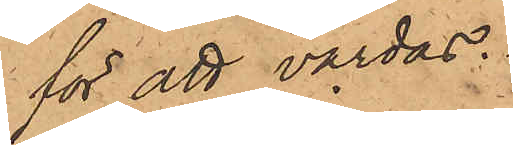för att vårdas.
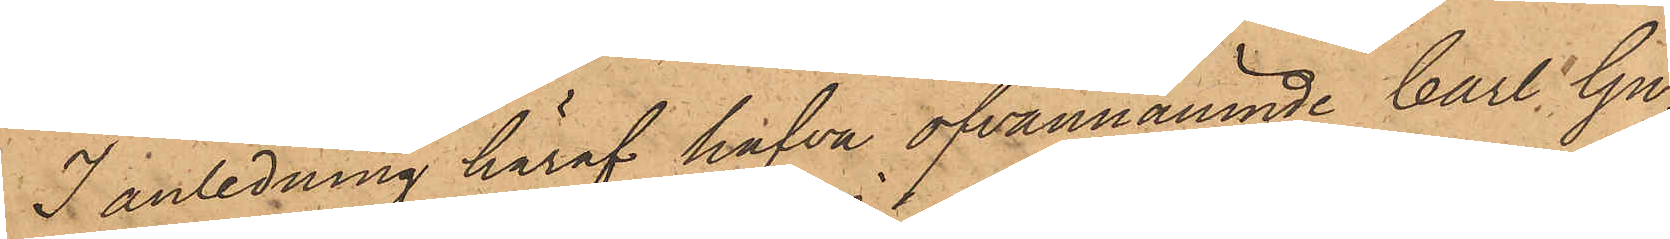I anledning häraf hafva ofvannämnde Carl Gu¬
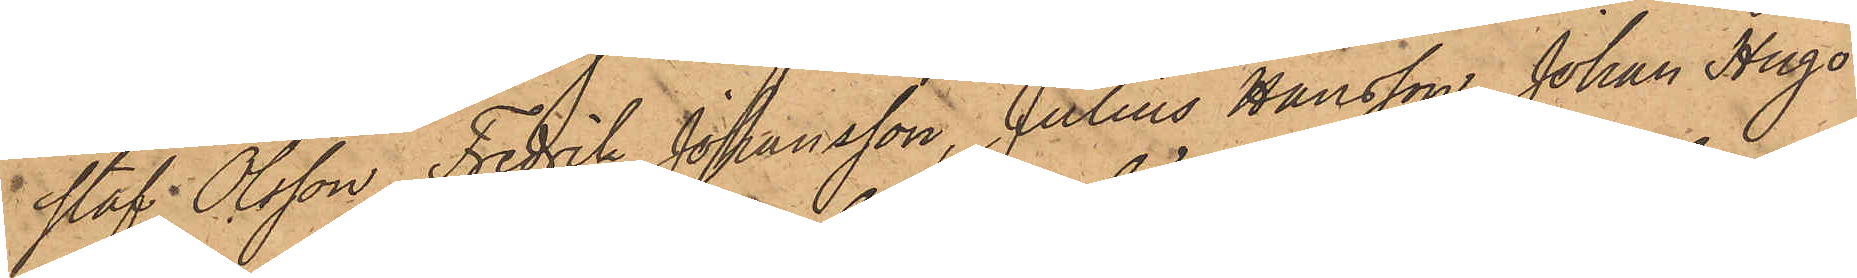staf Olsson, Fredrik Johansson, Julius Hansson, Johan Hugo
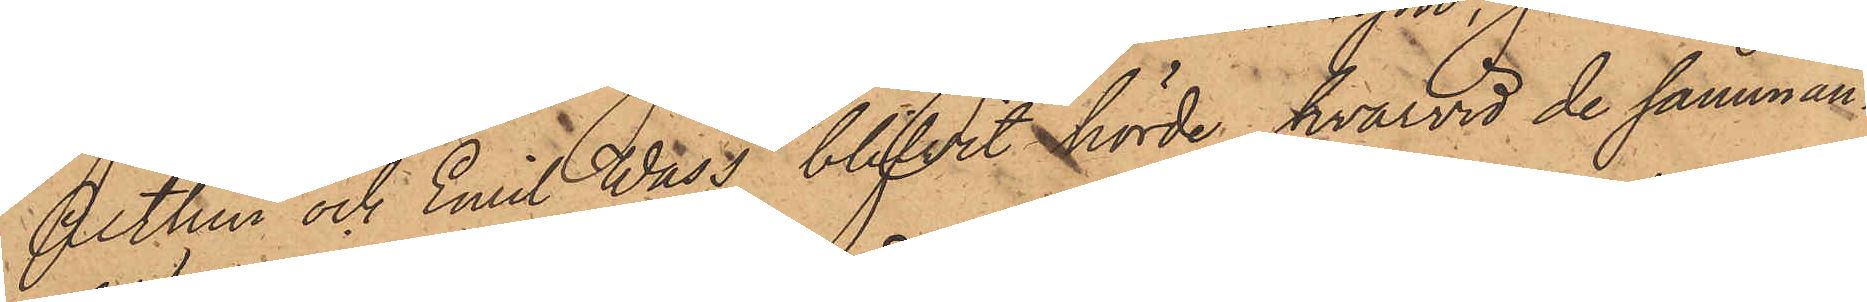Althin och Emil Wass, blifvit hörde, hvarvid de samman¬
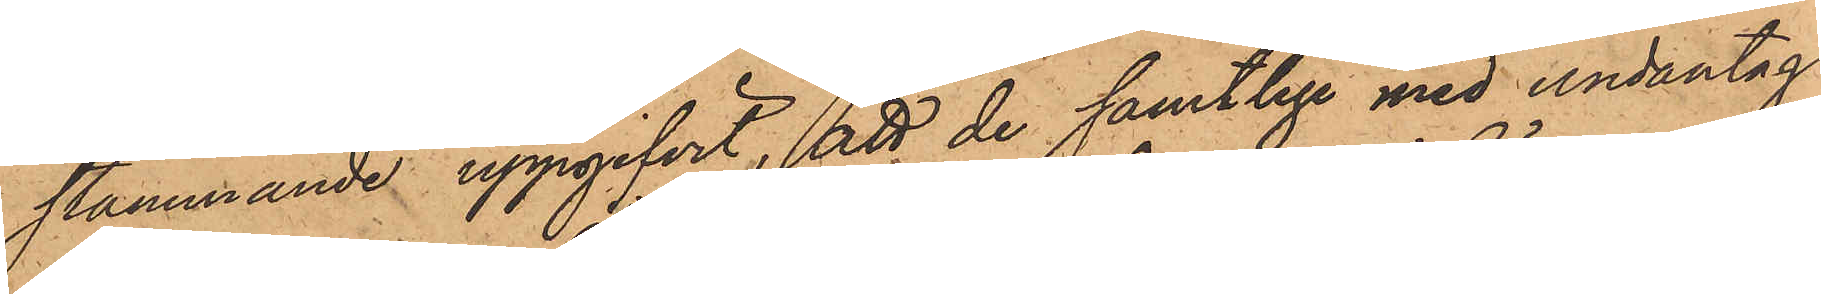stämmande uppgifvit, att de samtlige med undantag
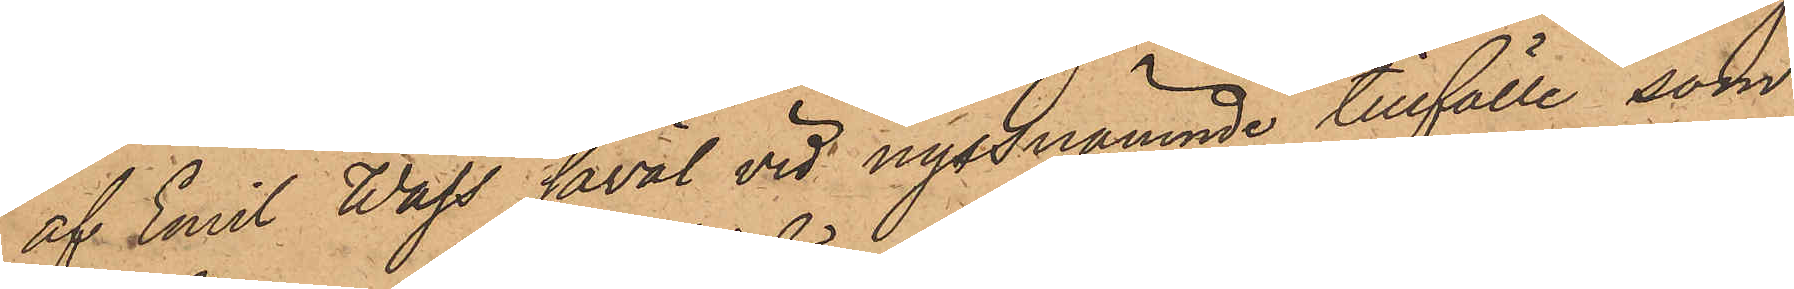af Emil Wass såväl vid nyssnämnde tillfälle, som
